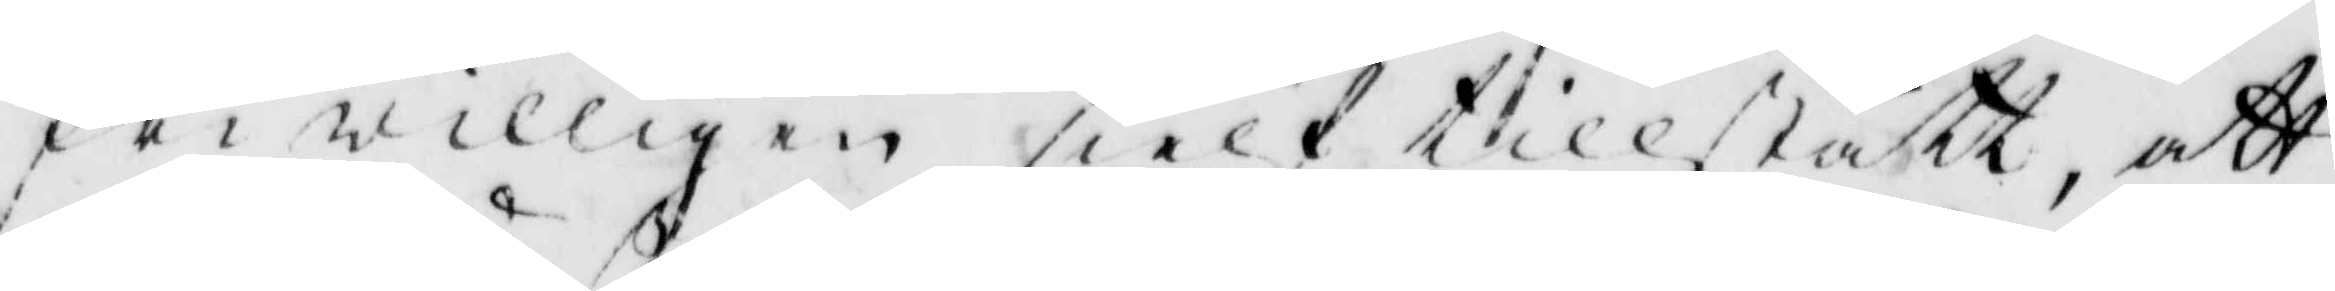friwilligen sielf tillstått, att
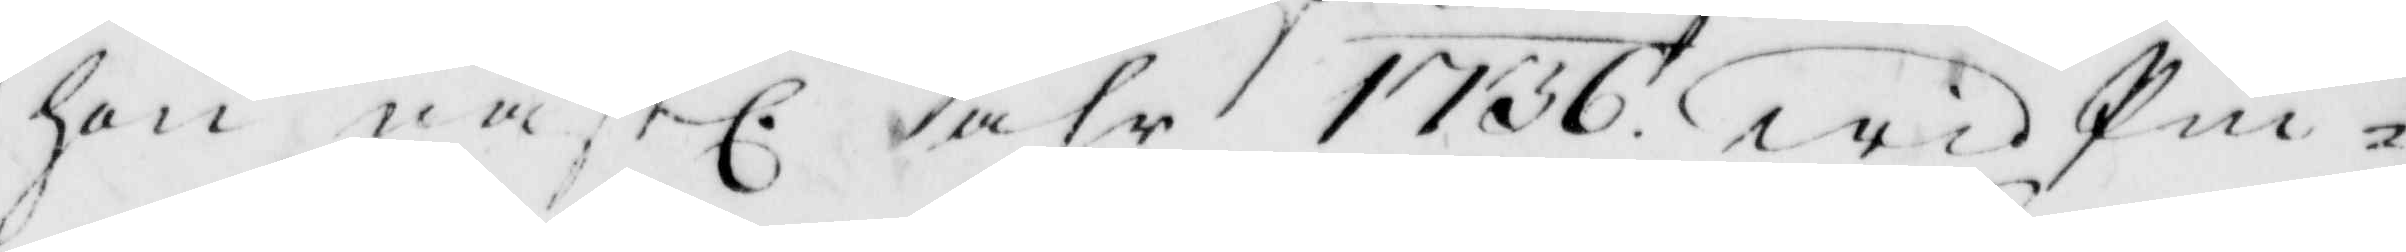hon nästl. åhr 1736 wid Pin¬
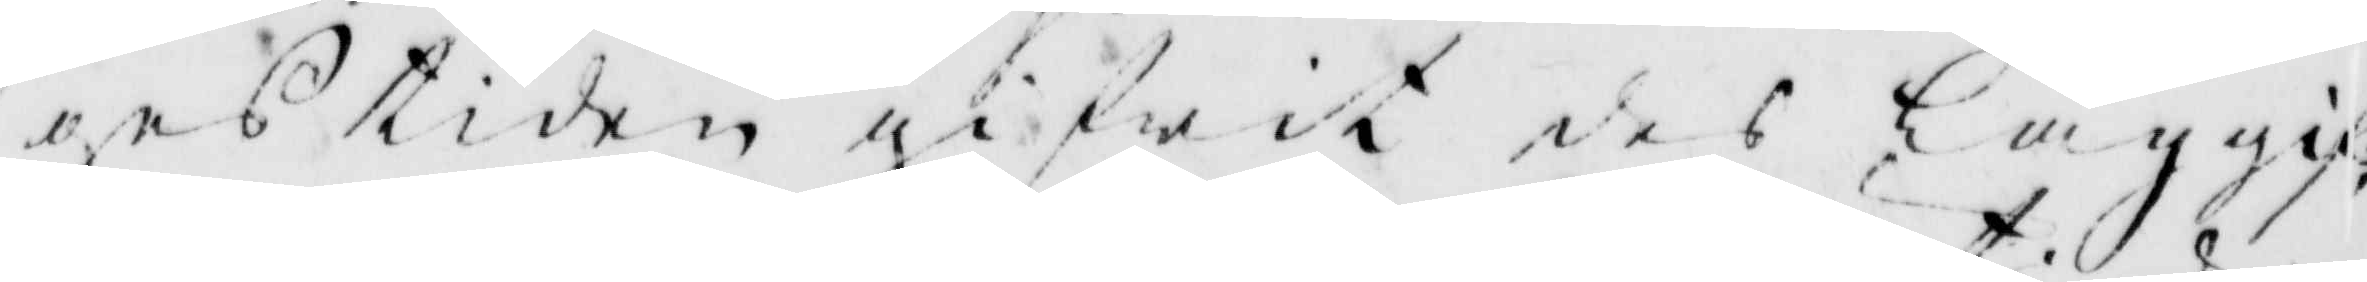gestiden gifwit des Laggif¬
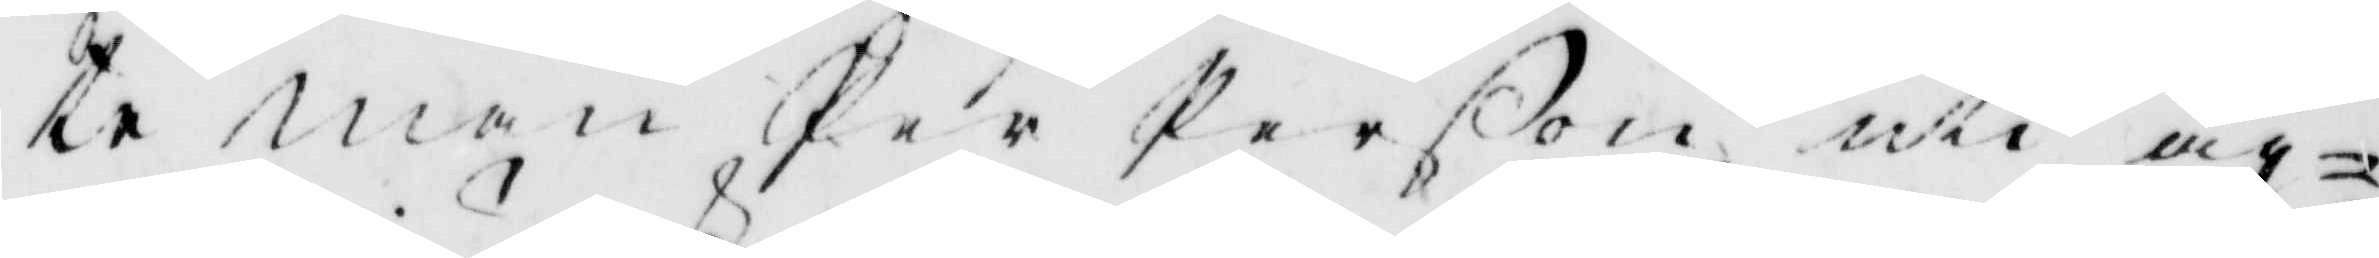te man Per Perßon uti äg¬
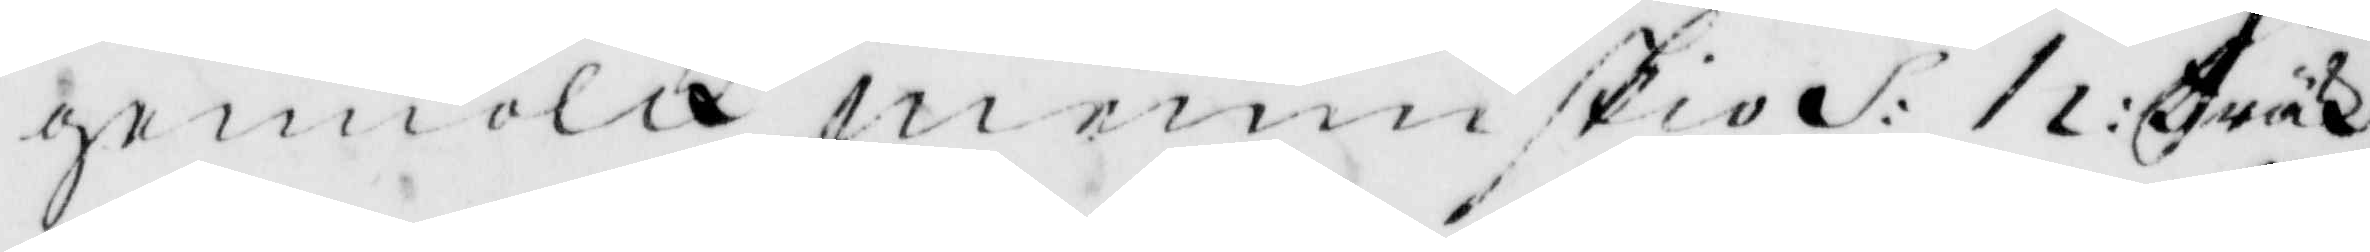gemiölk menniskio S: h: träck
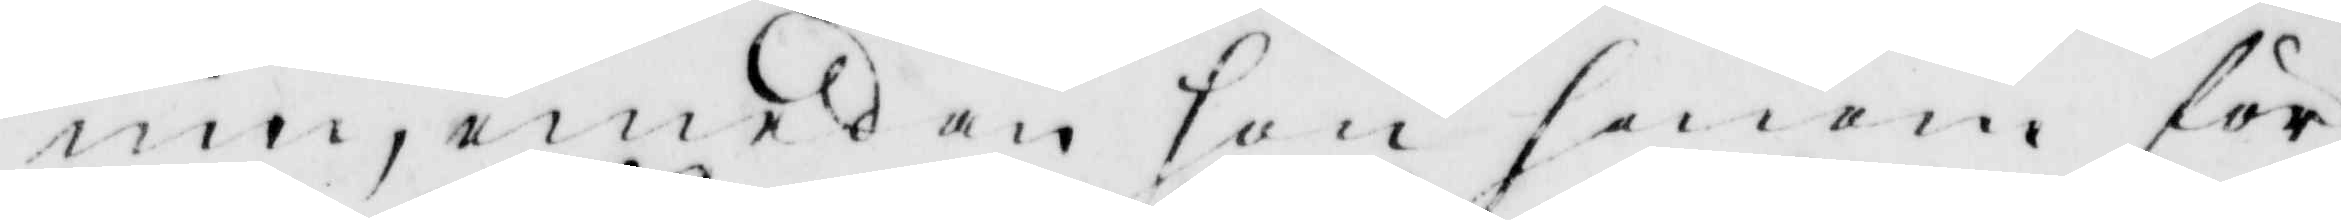inn, emedan hon honom för 
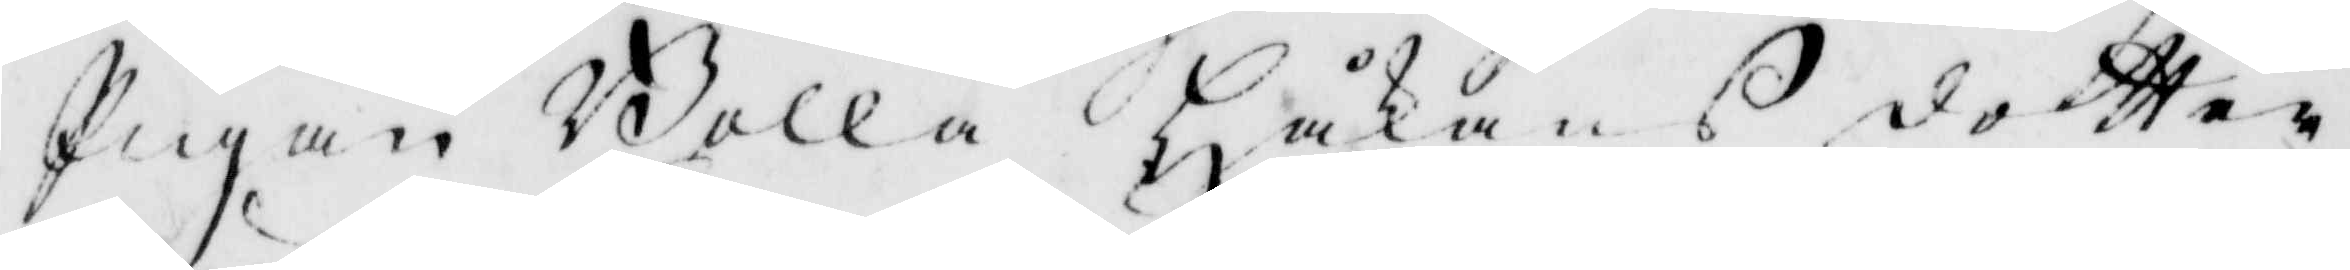Pigan Bolla Håkansdotter
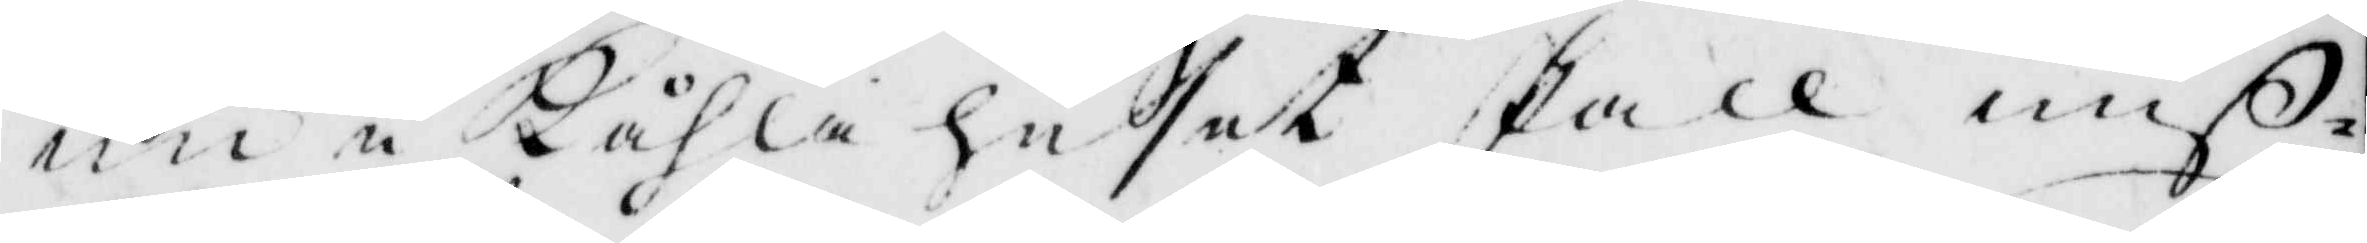nui Kåhlahusey skall miß¬
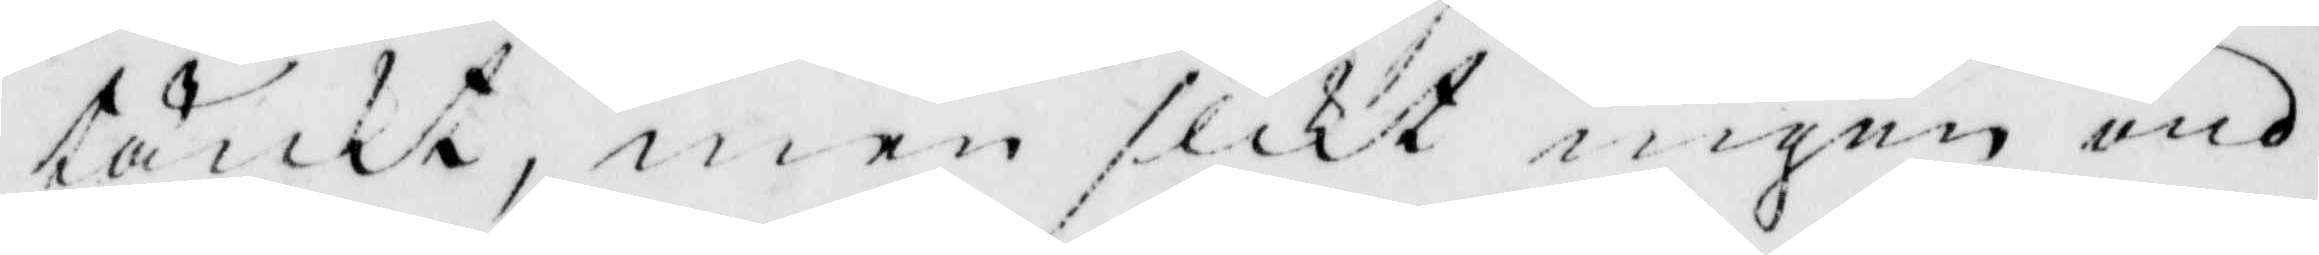tänkt, men slikt ingen ond
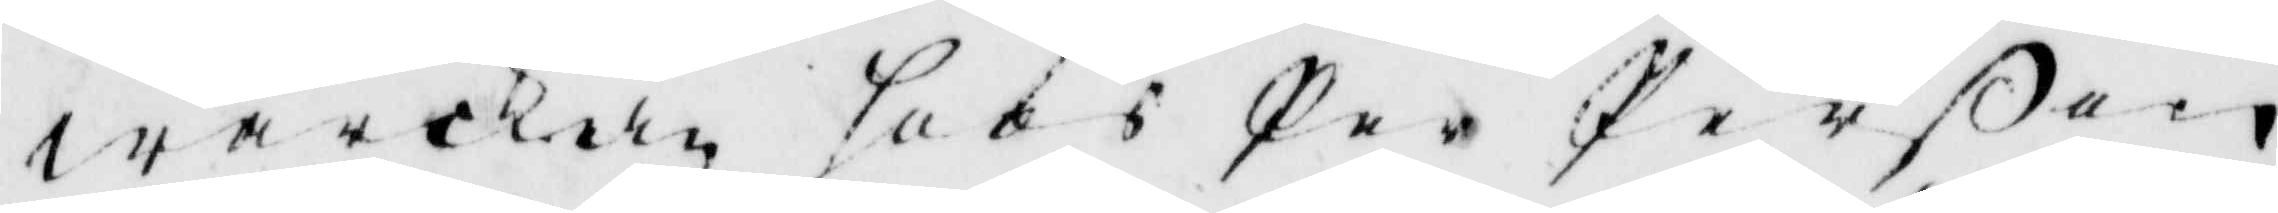wärkan hoos Per Perßon
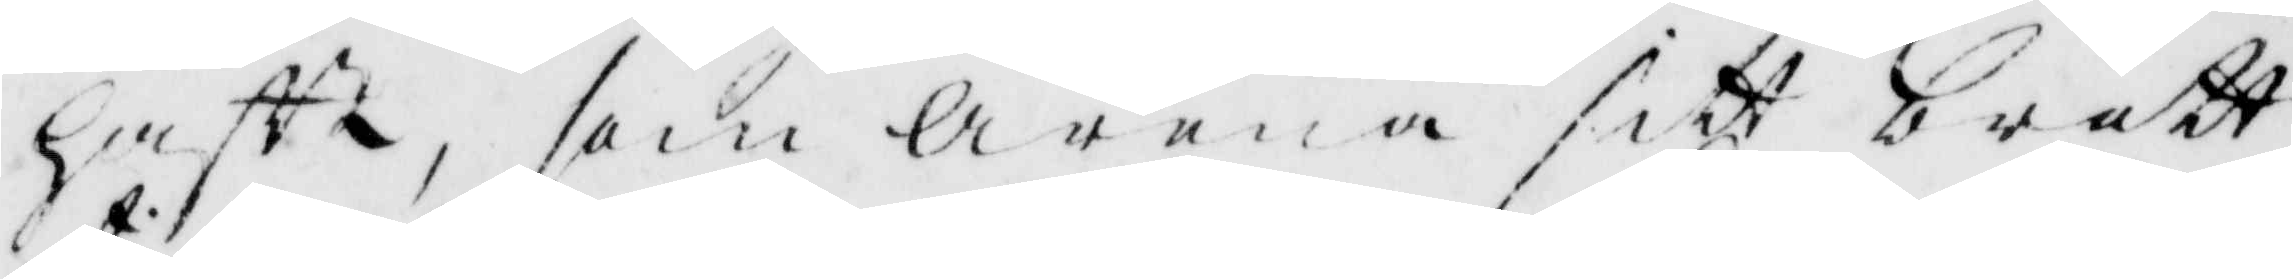haft, som Arena sitt brott
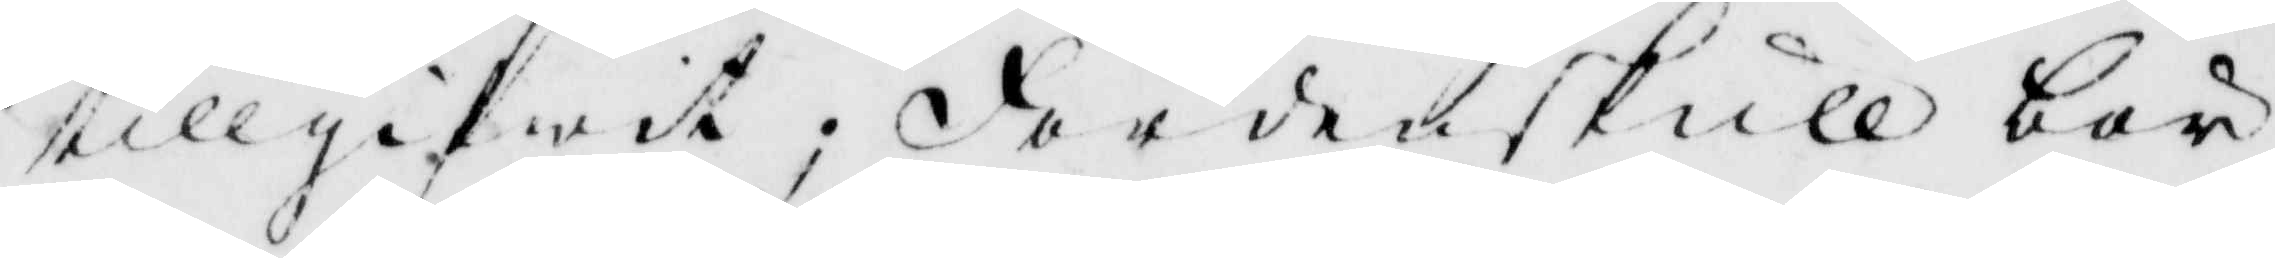tillgifwit; För denskull bör
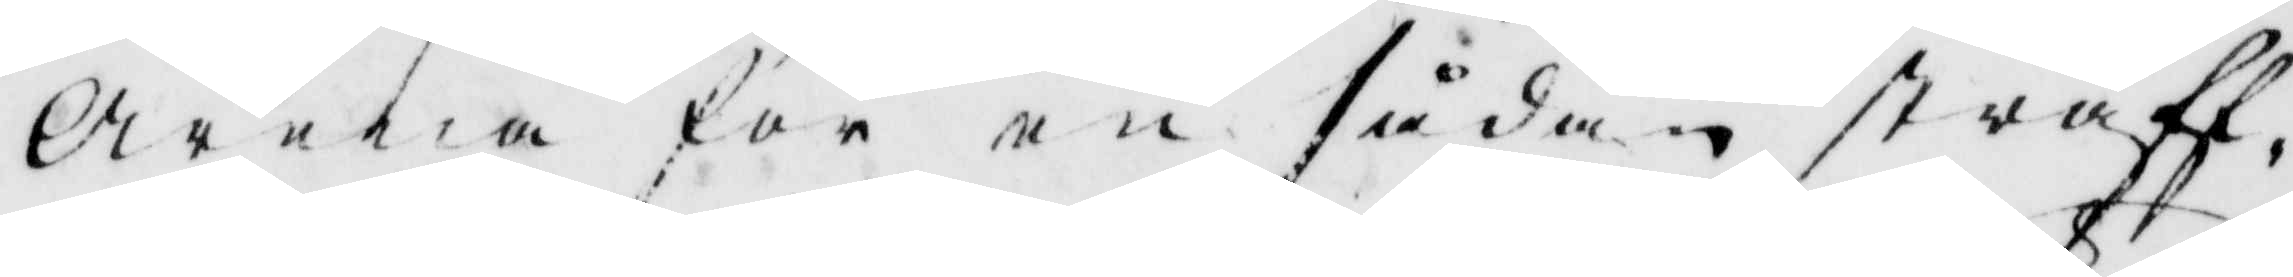Arena för en sådan straff¬
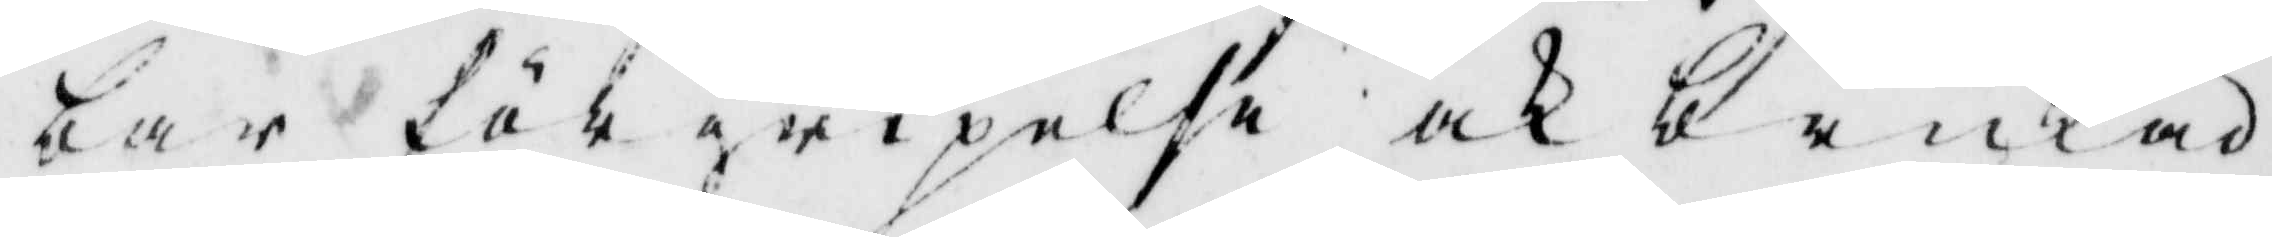bar förgripelse och brukad
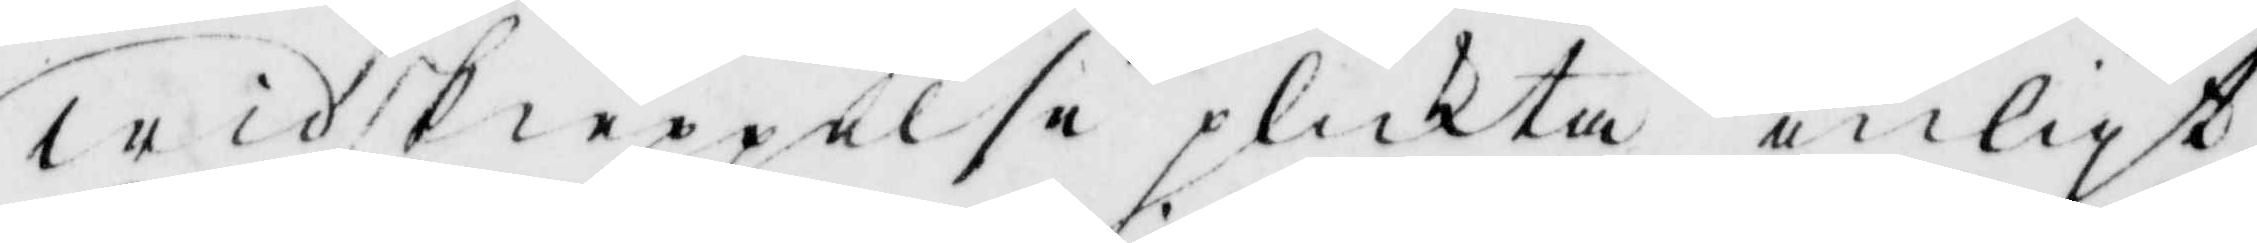widskiepelse plikta enligt
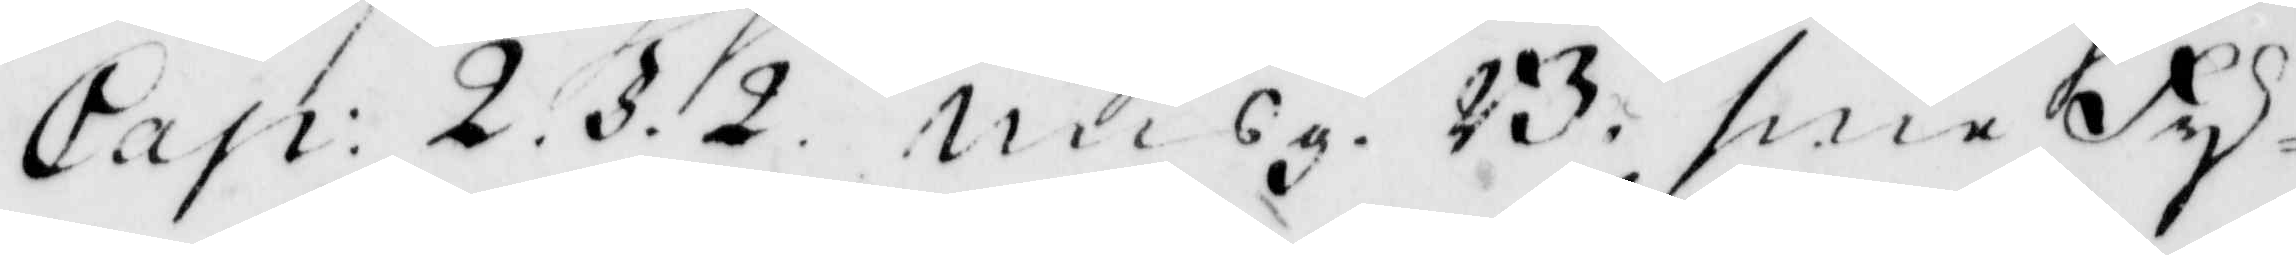Cap: 2. §. 2. misg. B. sina Fy¬
